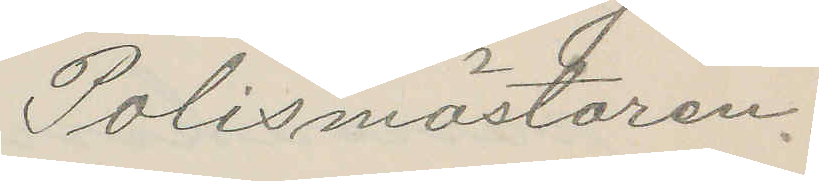Polismästaren.
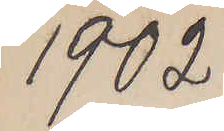1902
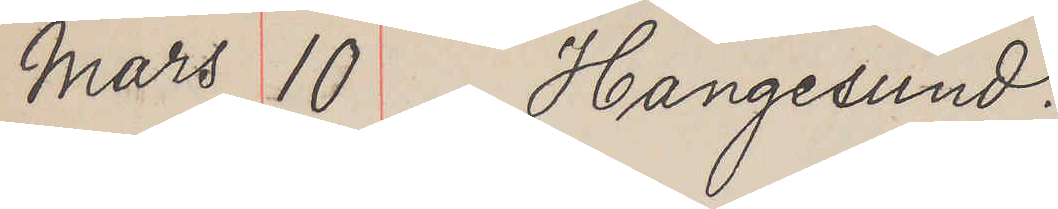Mars 10 Hangesund.
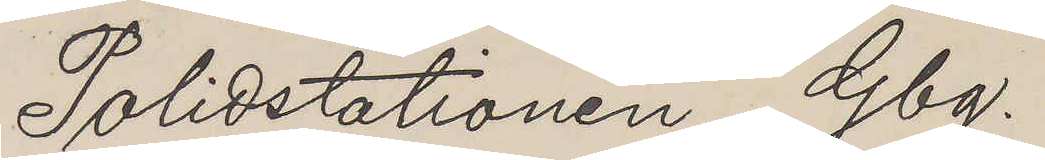Polidstationen Gbg.
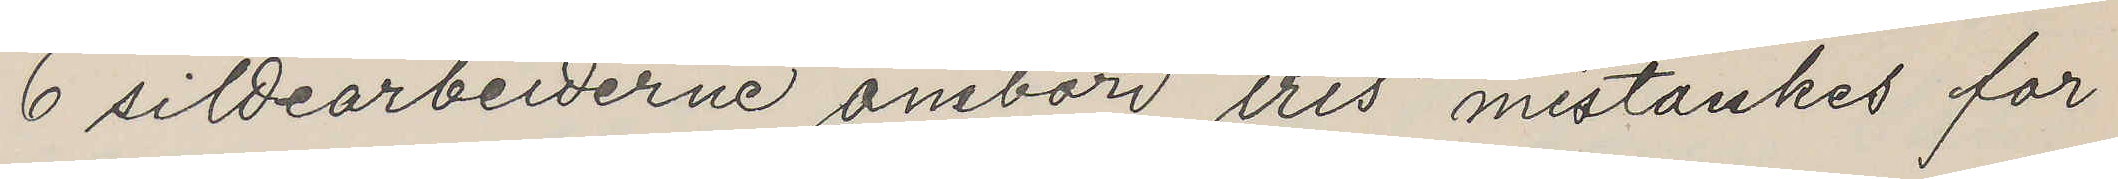6 sildearbeiderne ombord "Iris" mistänkes for
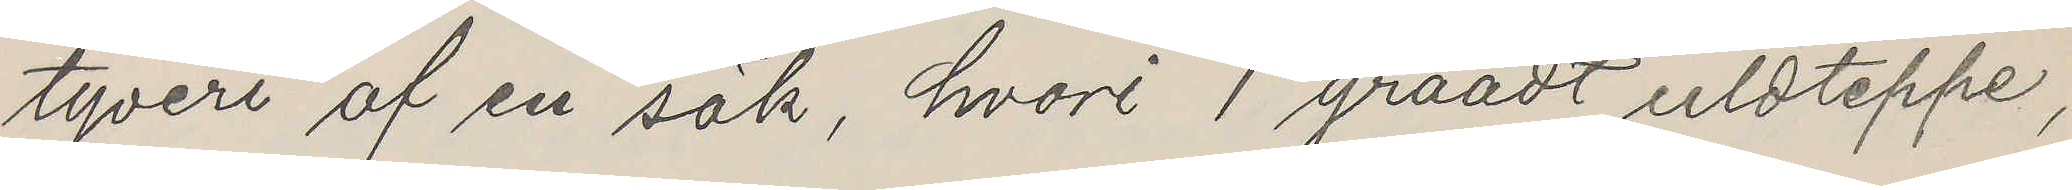tyveri af en säk, hvori 1 graadt uldteppe,
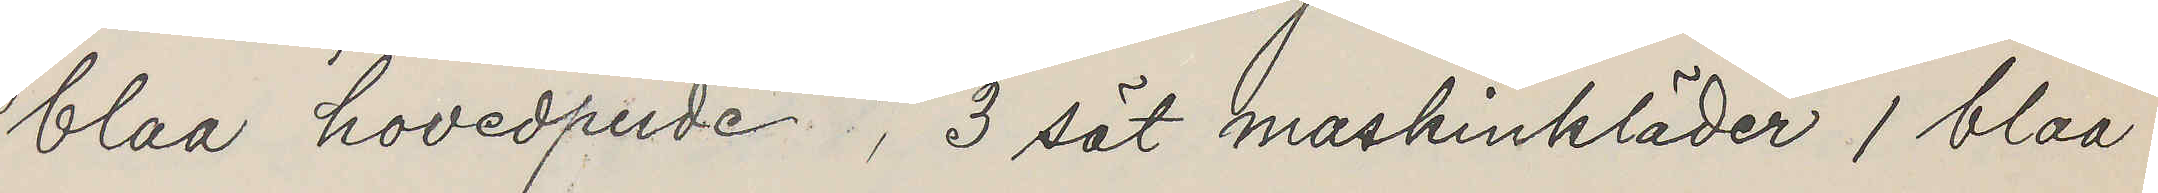blaa hovedpude, 3 sät maskinkläder 1 blaa
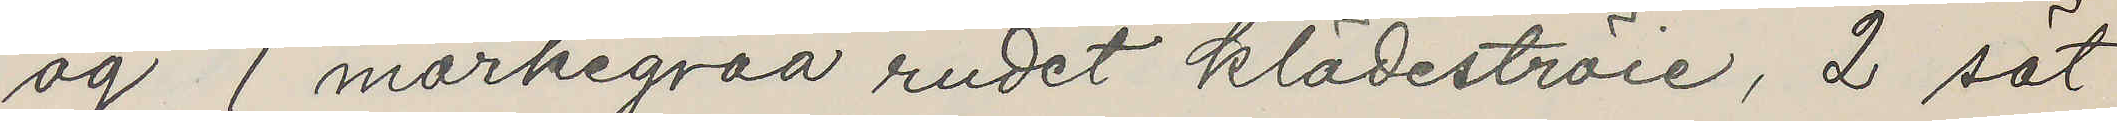og 1 morkegraa rudet klädeströie, 2 sät
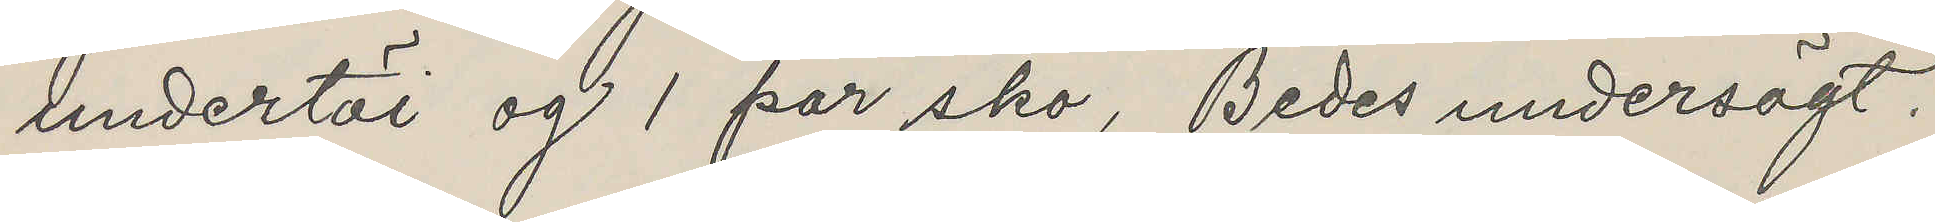undertöi og 1 par sko, Bedes undersögt.
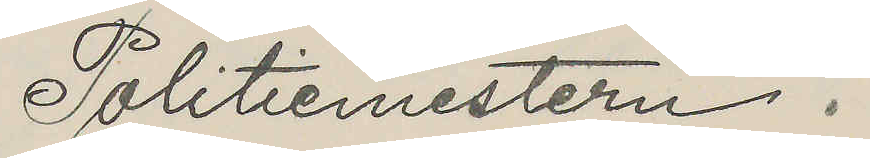Politiemesteren.
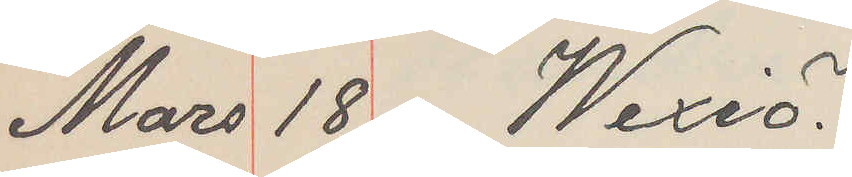Mars 18 Wexiö.
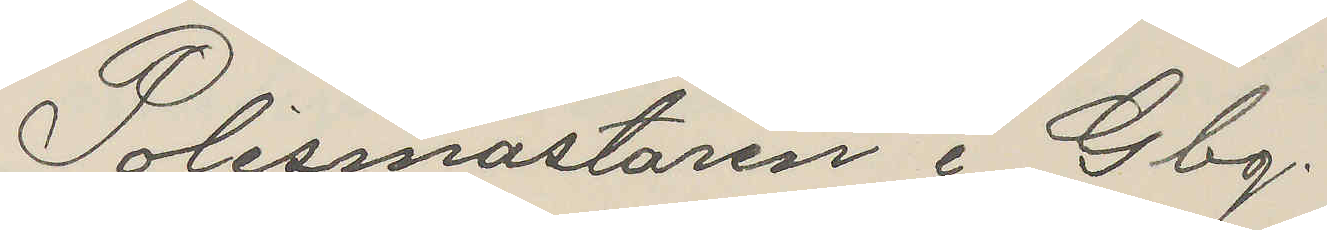Polismästaren i Gbg.
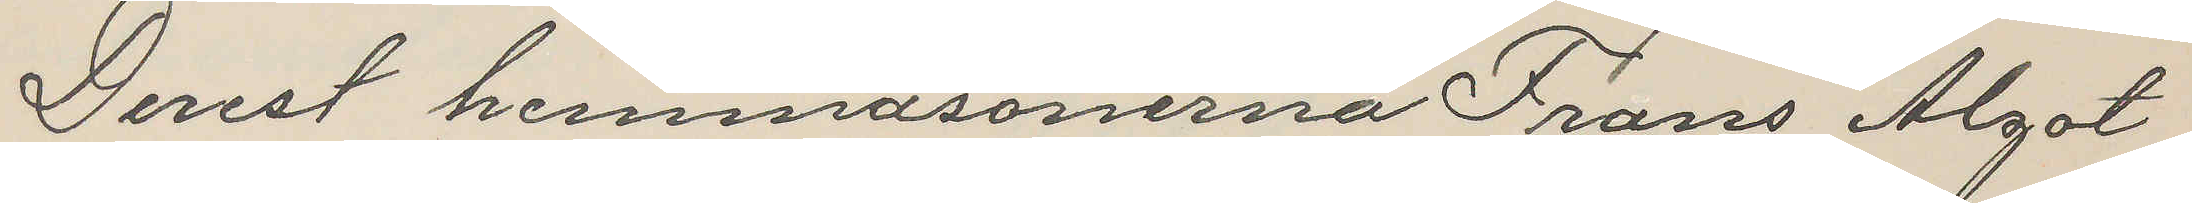Derest hemmasönerna Frans Algot
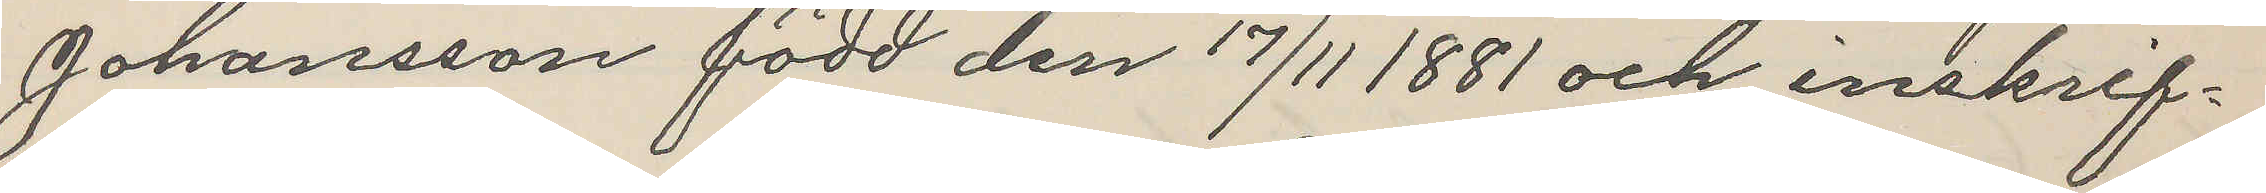Johansson född den 17/11 1881 och inskrif¬
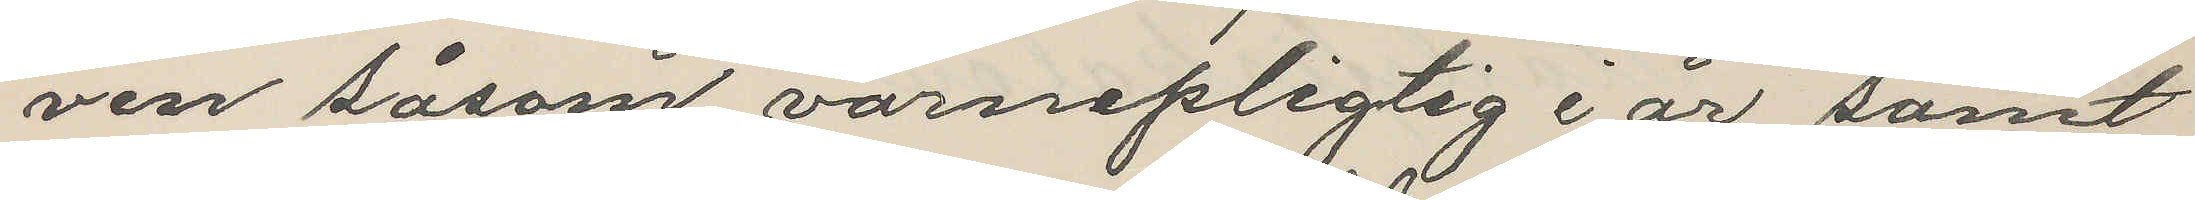ven såsom värnepligtig i år samt
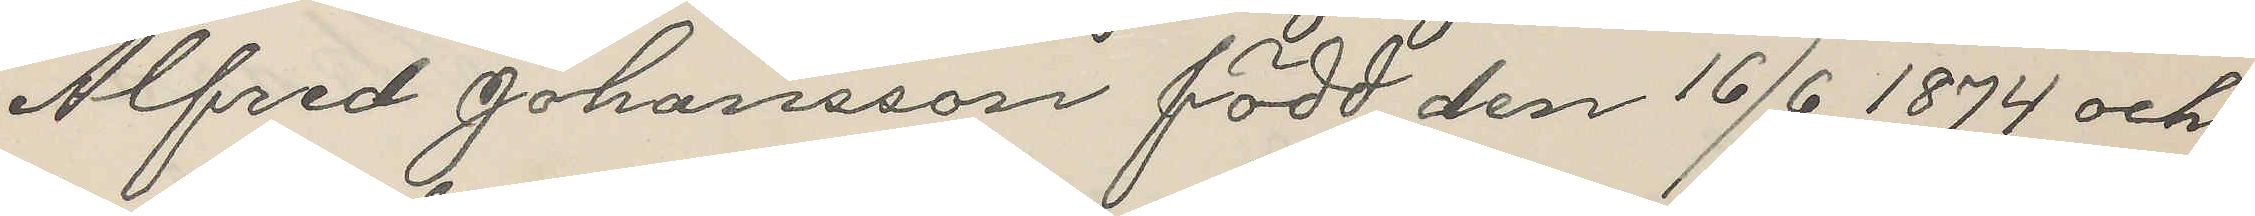Alfred Johansson född den 16/6 1874 och
